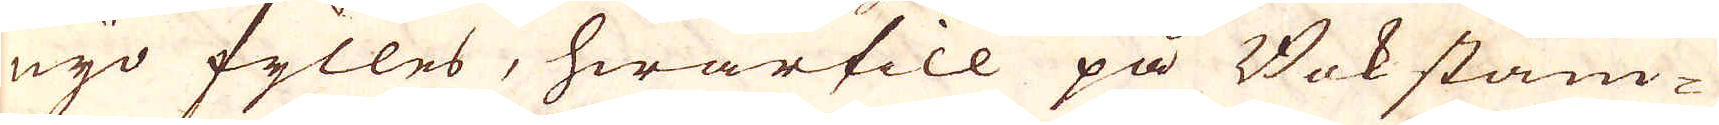nyo fylles, hwartill på Bok stäm-
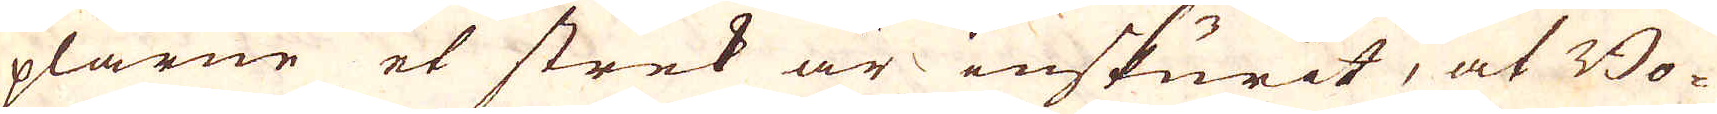plarne et strek är inskurit, at Bo-
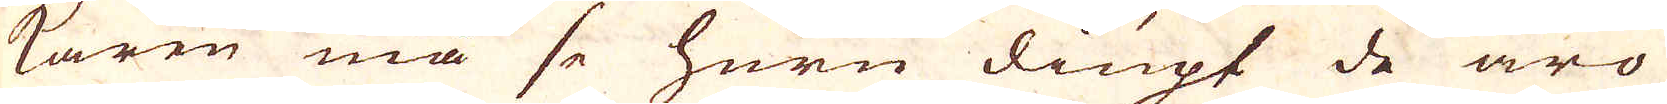karen må se huru diupt de äro
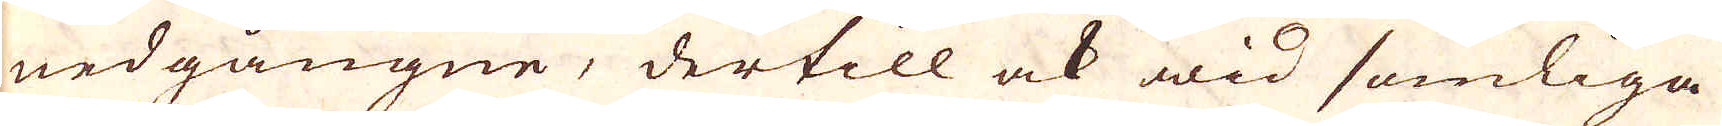nedgångne, dertill ock wid somliga
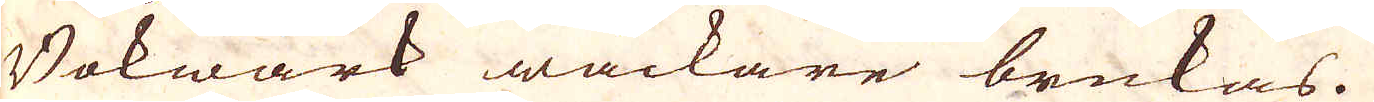Bokwärk wäckare brukas.
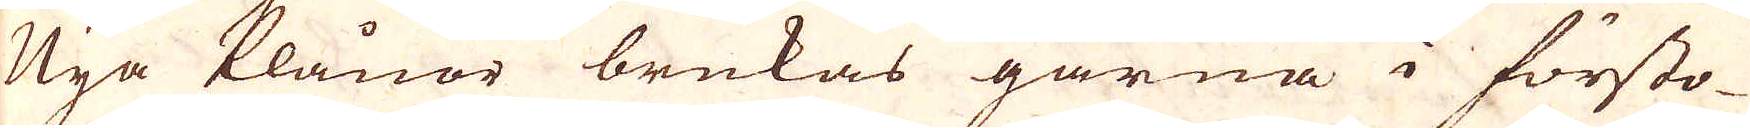Nya Plånor brukas gärna i försto-
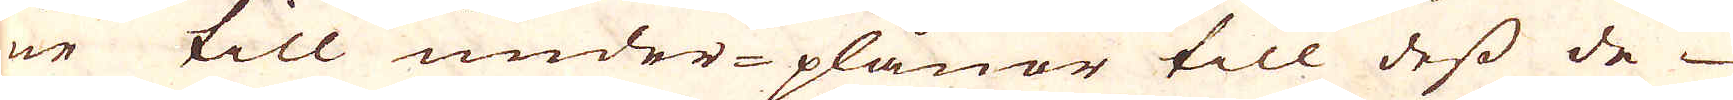ne till under-plånor till dess de
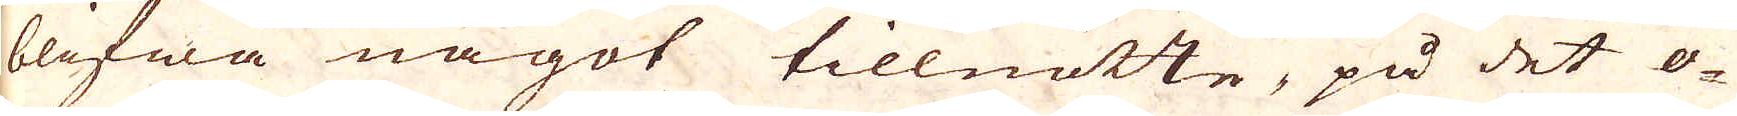blifwa något tillnötte, på det o-
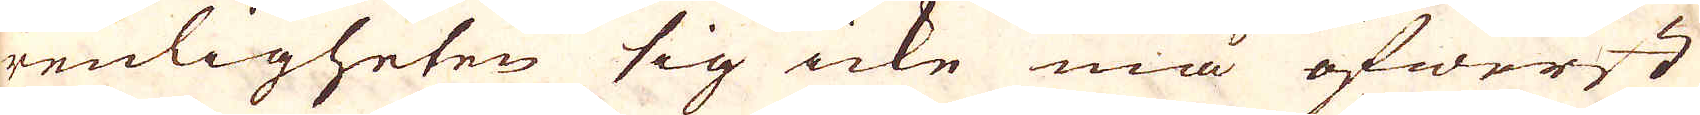renligheten sig icke må öfwerst
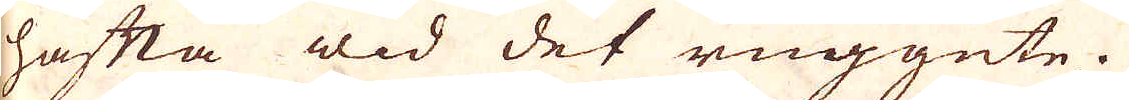häfta wid det ruggute.
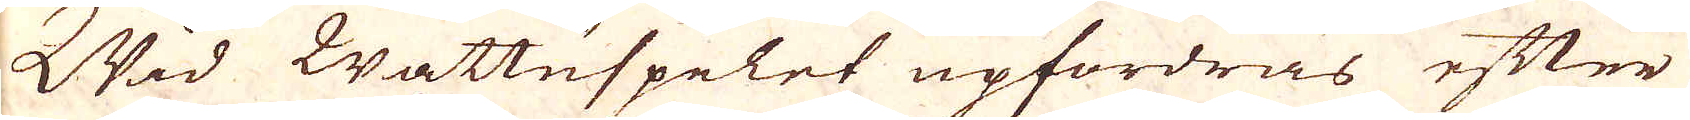Wad Wattuspelet upfordras efter
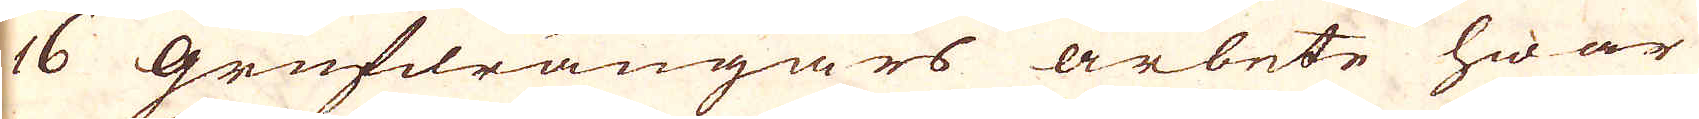16 Grufdrängars arbete hwar
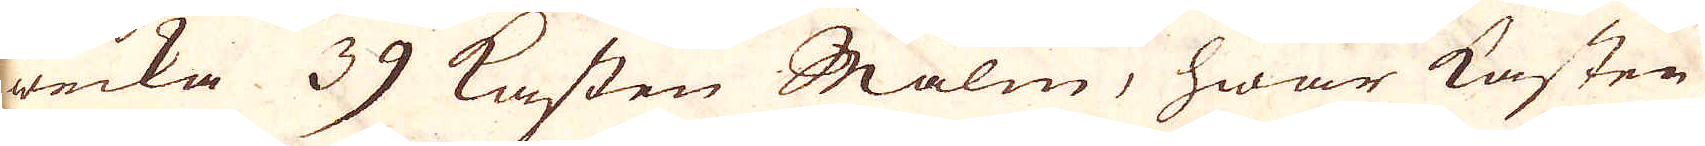wecka 39 Kasten Malm, hwar kasten
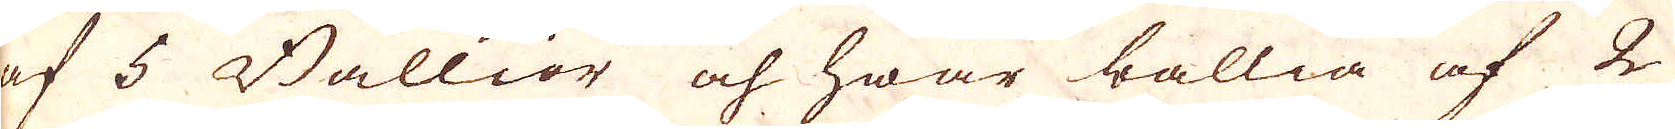af 5 Ballior och hwar ballia af 2
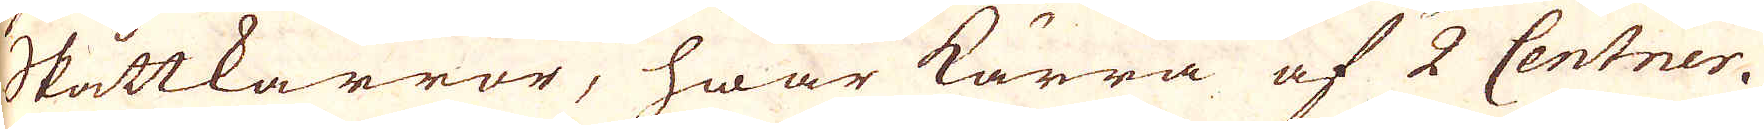Skåttkarror, hwar kärra af 2 Centner.
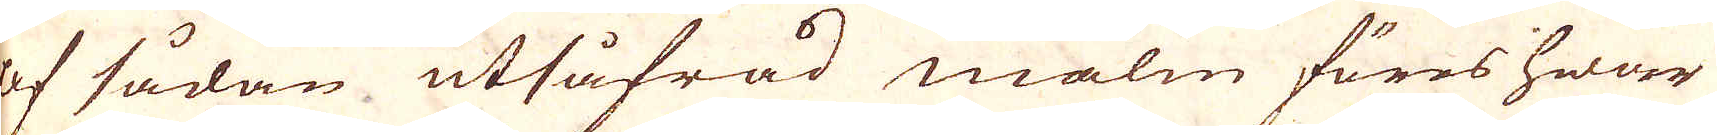Af sådan utsåfråd malm föres hwar
